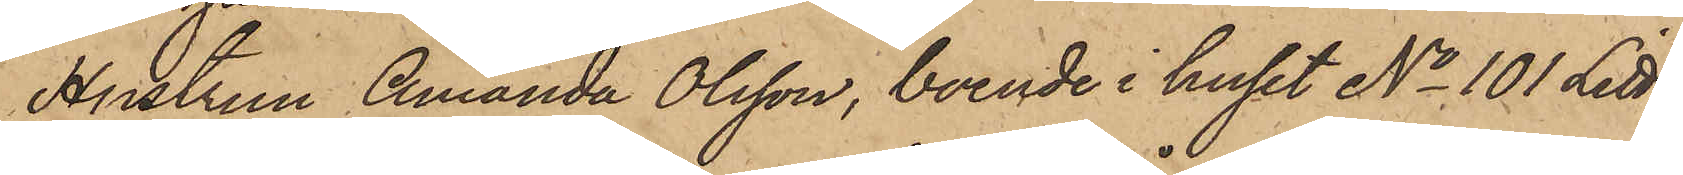Hustrun Amanda Olsson, boende i huset No 101 Litt
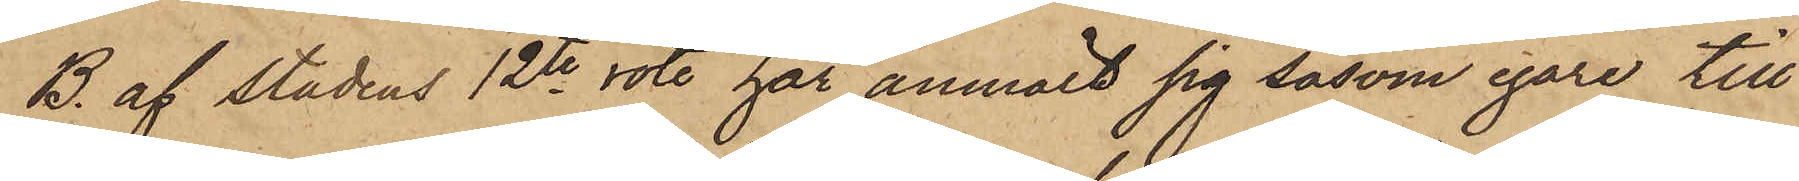B. af stadens 12te rote, har anmält sig såsom egare till
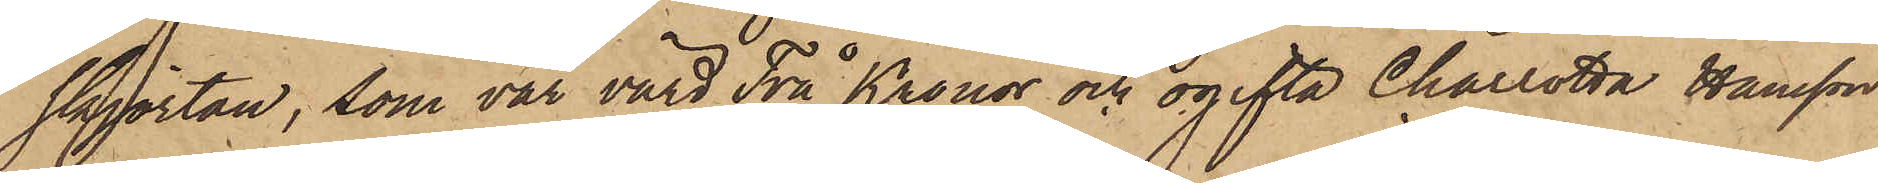skjortan, som var värd Två Kronor och ogifta Charlotta Hansson
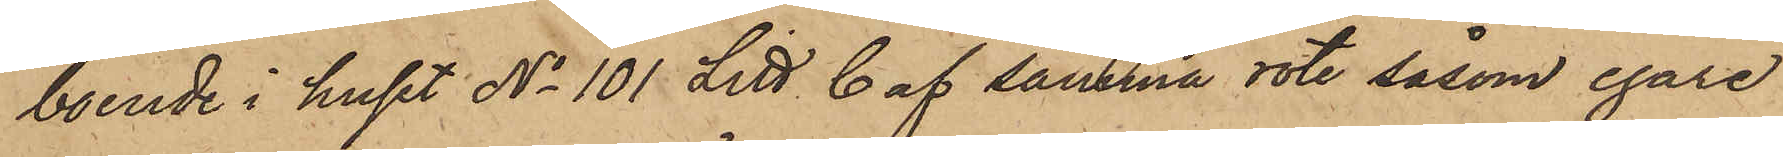boende i huset No 101 Litt C af samma rote, såsom egare
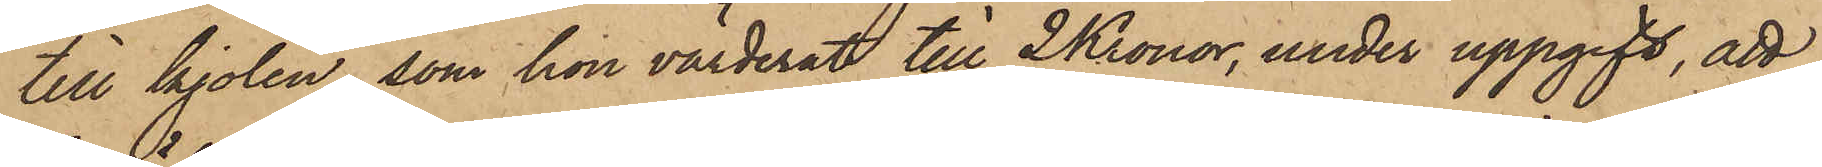till kjolen, som hon värderat till 2 Kronor, under uppgift, att
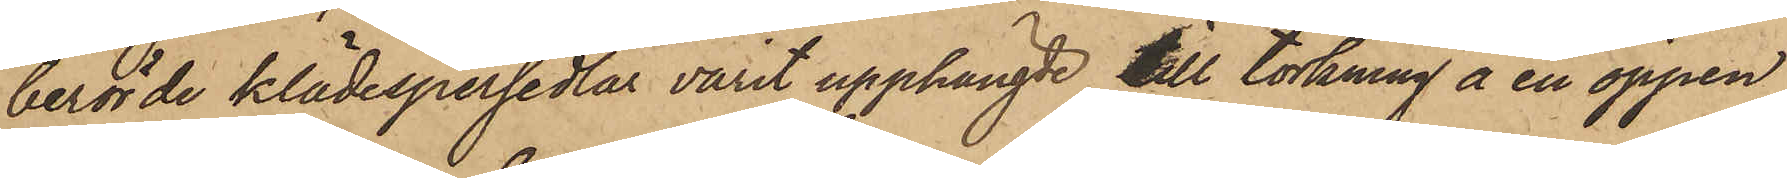berörde klädespersedlar varit upphängde till torkning å en öppen
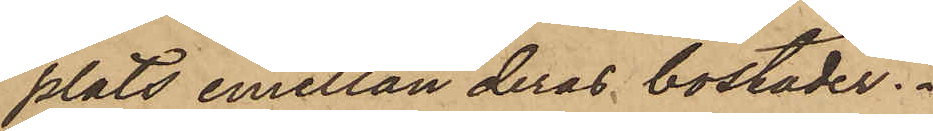plats emellan deras bostäder.
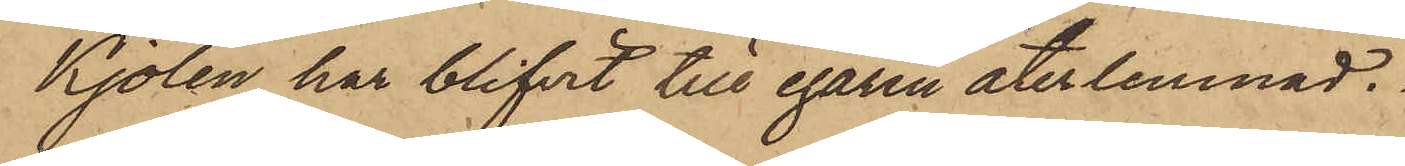Kjolen har blifvit till egaren återlemnad.
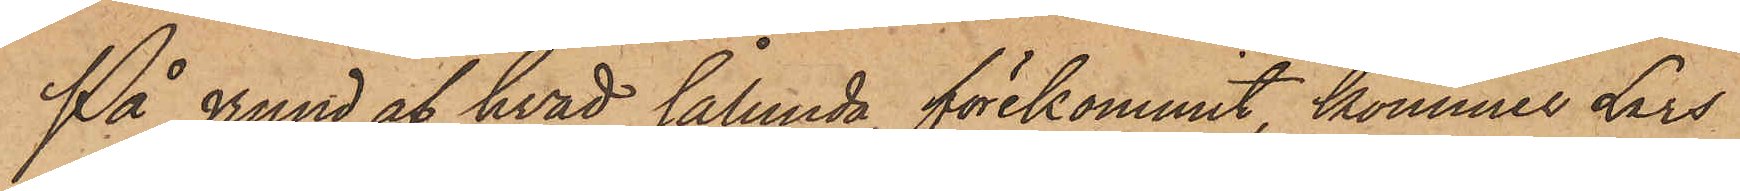På grund af hvad sålunda förekommit, kommer Lars
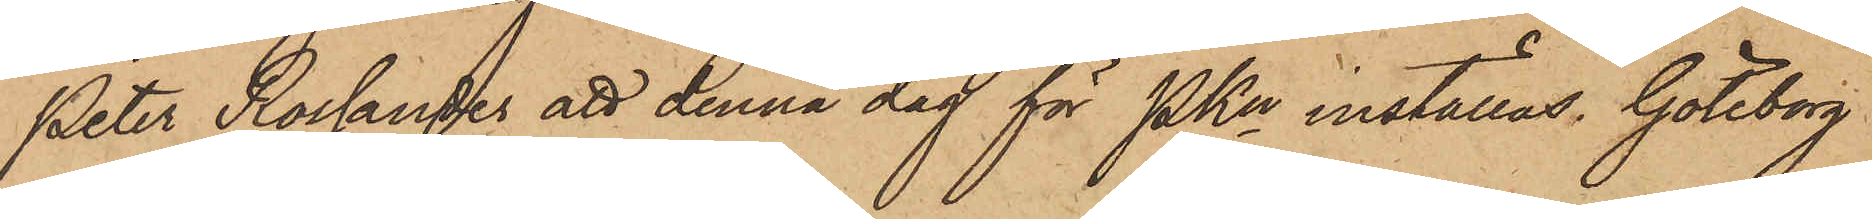Peter Rossander att denna dag för PKn inställas. Göteborg
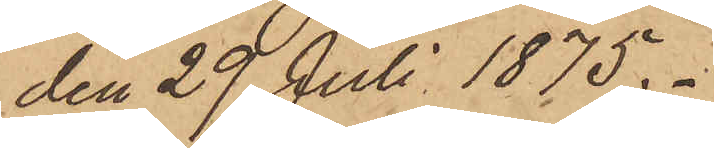den 29 Juli 1875.
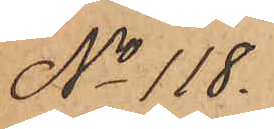No 118.
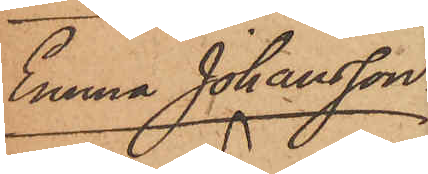Anna Johansson.
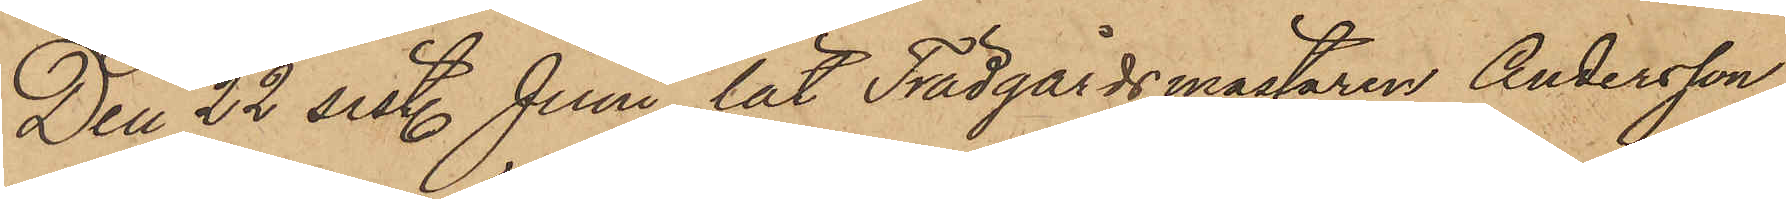Den 22 sist. Juni lät Trädgårdsmästaren Andersson,
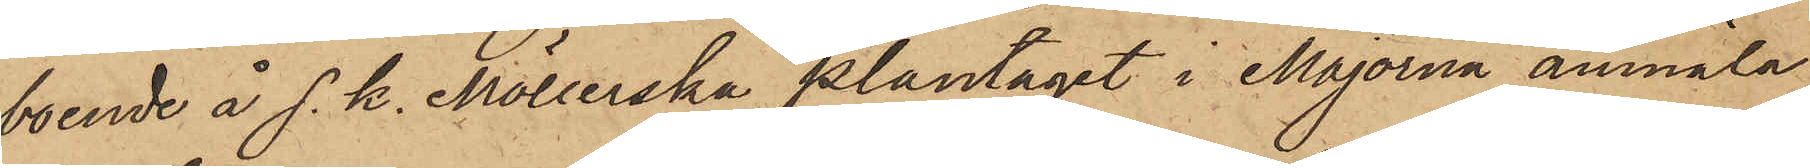boende å s. k. Möllerska plantaget i Majorna anmäla
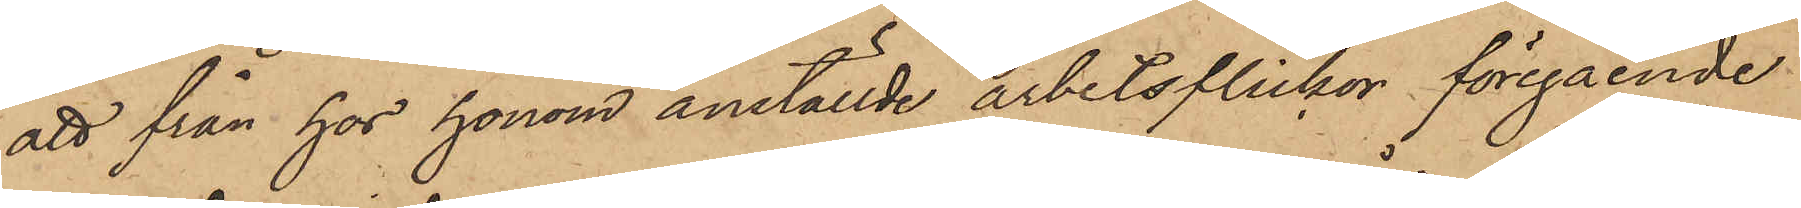att från hos honom anställde arbetsflickor föregående
